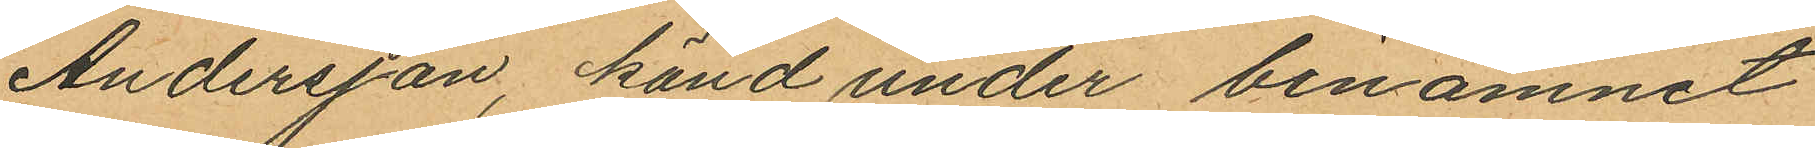Andersson, känd under binamnet
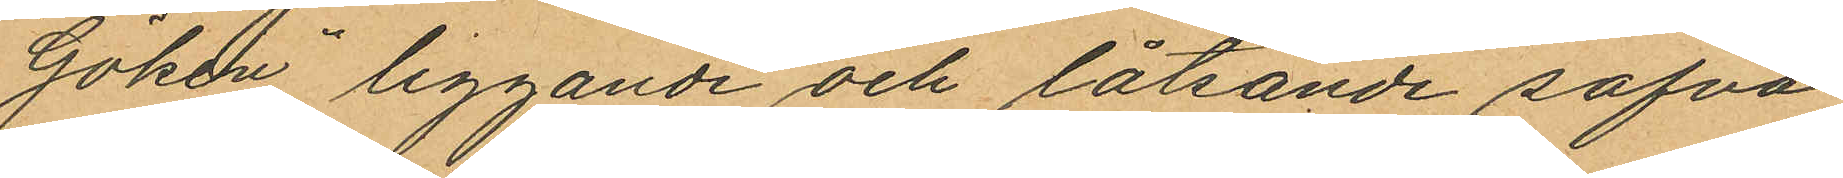"Göken" liggande och låtsande sofva
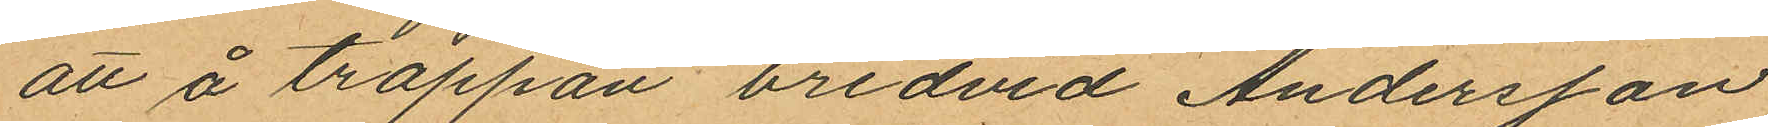att å trappan bredvid Andersson
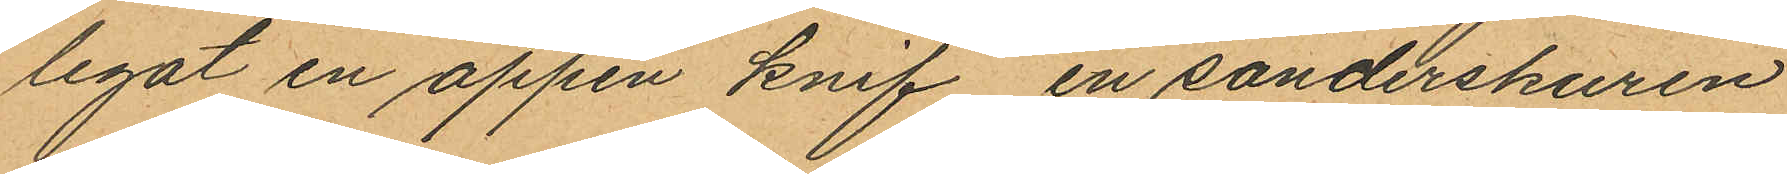legat en öppen knif, en sönderskuren
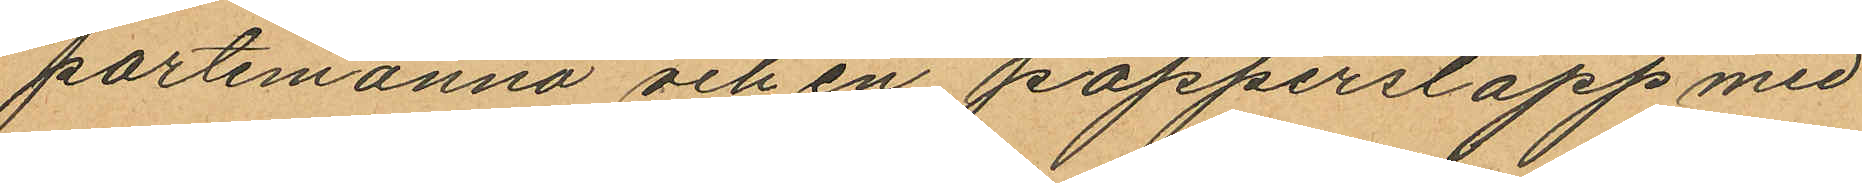portemonnä och en papperslapp med
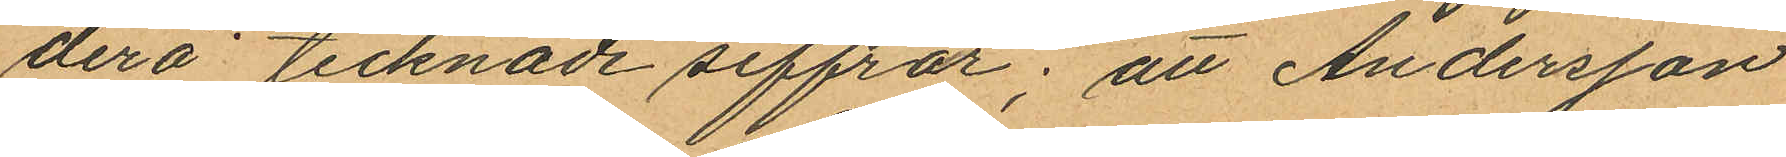derå tecknade siffror; att Andersson
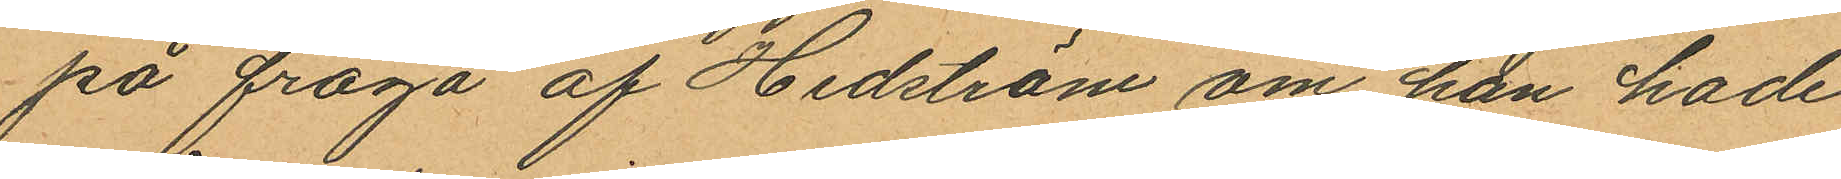på fråga af Hedström om han hade
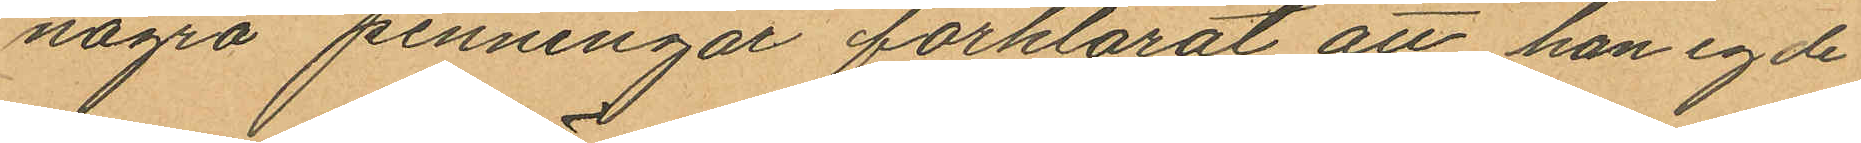några penningar förklarat att han egde
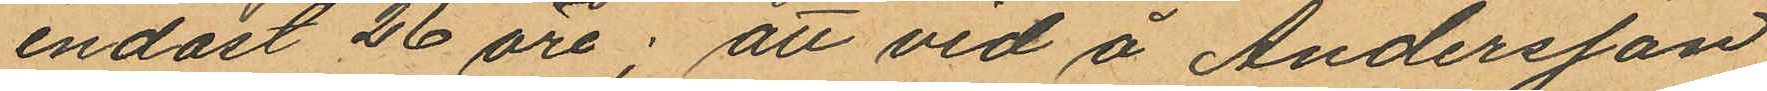endast 26 öre; att vid å Andersson
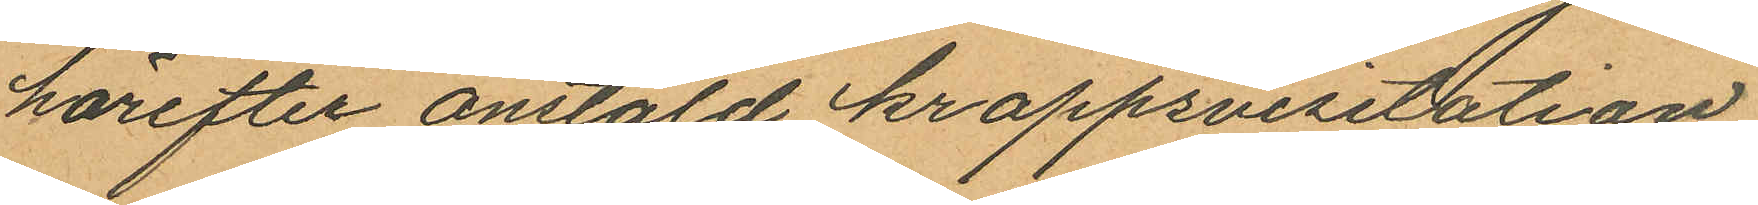härefter anstäld krappsvisitation
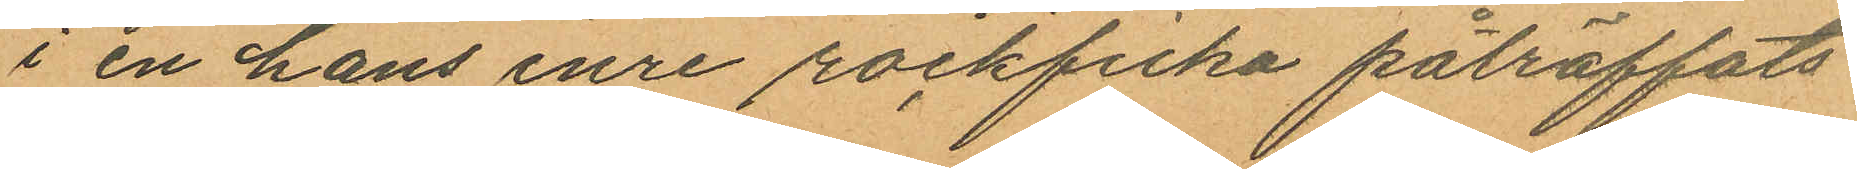i en hans inre rockficka påträffats
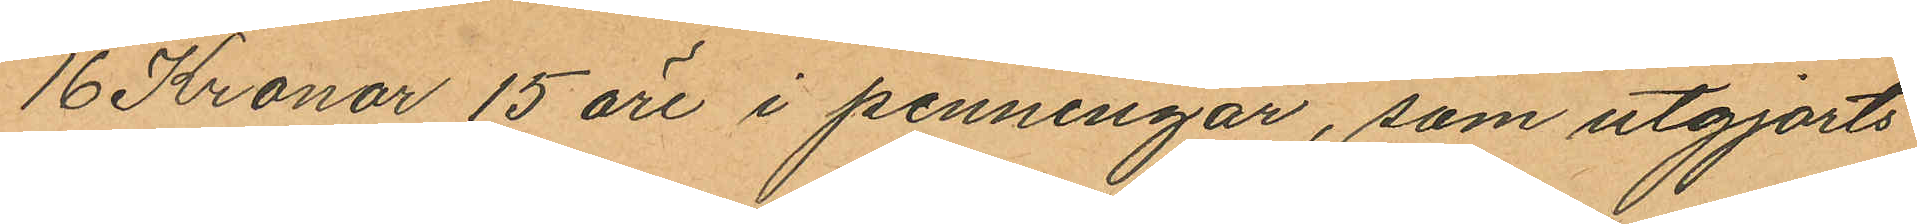16 Kronor 15 öre i penningar, som utgjorts
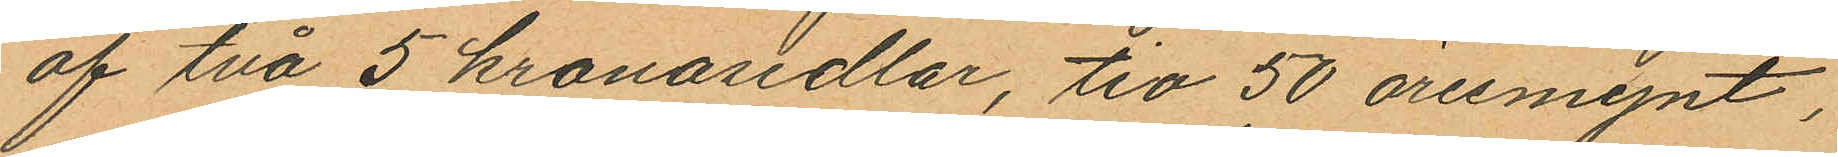af två 5 kronosedlar, tio 50 öresmynt,
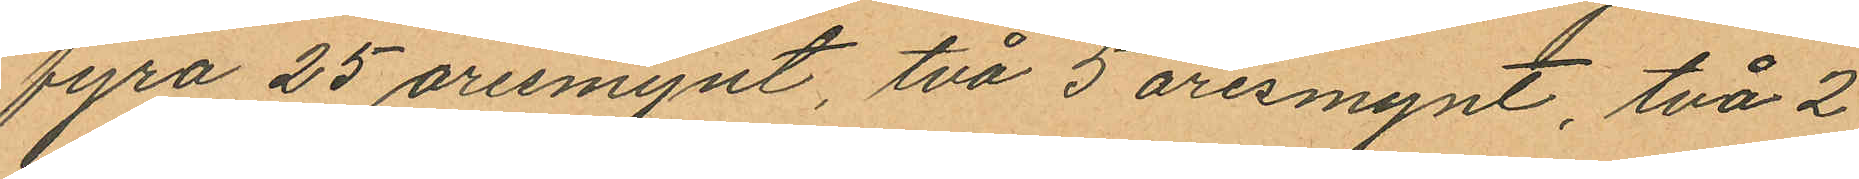fyra 25 öresmynt, två 5 öresmynt, två 2
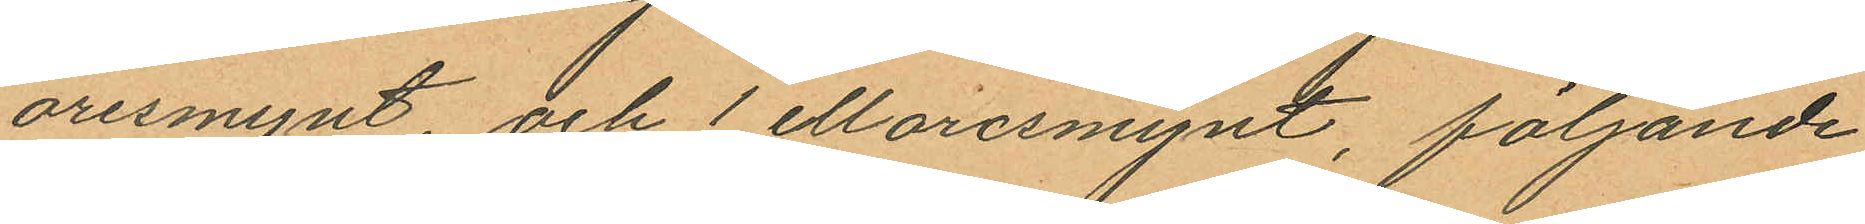öresmynt, och 1 elloresmynt, följande
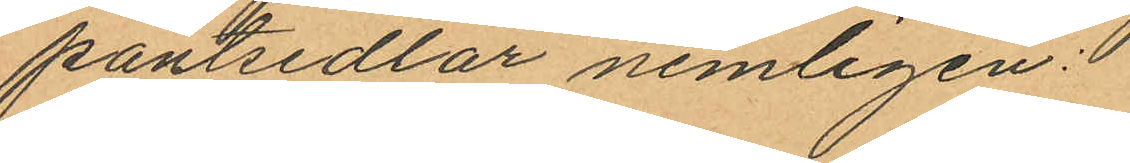pantsedlar nemligen:
